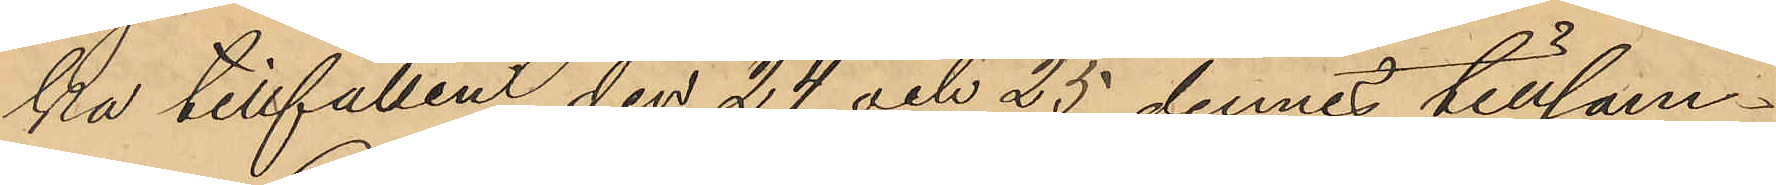ka tillfällen den 24 och 25 dennes tillsam¬
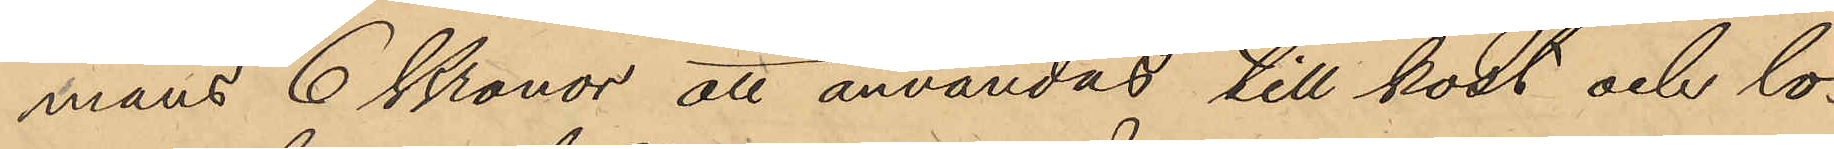mans 6 Konor att användas till kost och lo¬
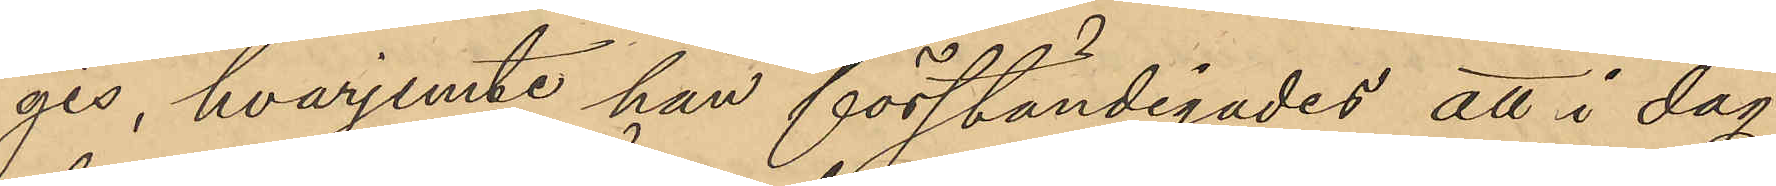gis, hvarjemte han förständigades att i dag
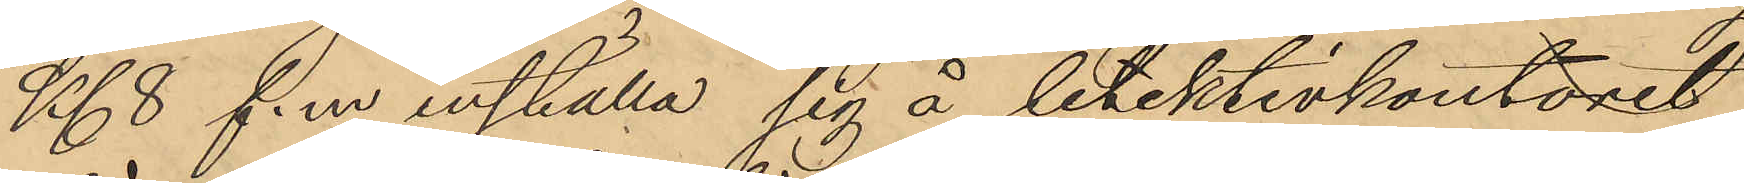Kl. 8 f.m inställa sig å detektivkontoret
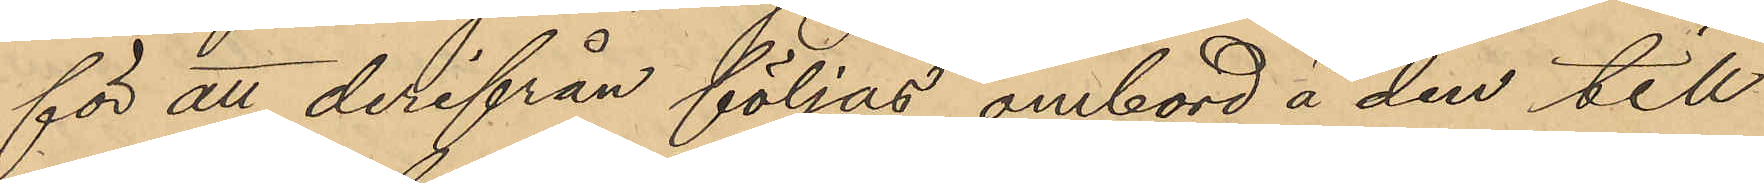för att derifrån följas ombord å den till
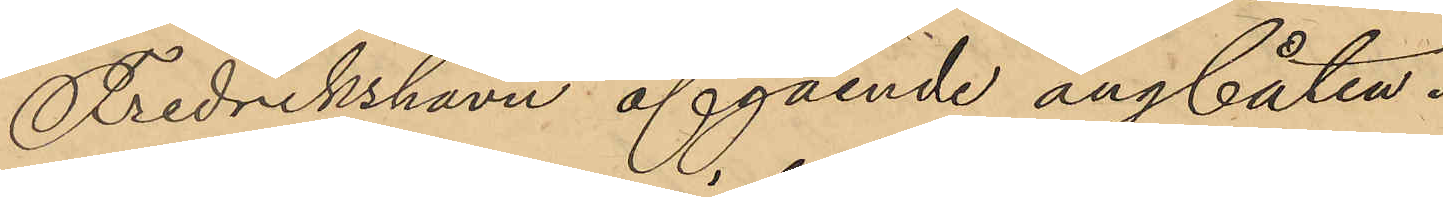Fredrikshavn afgående angbåten.
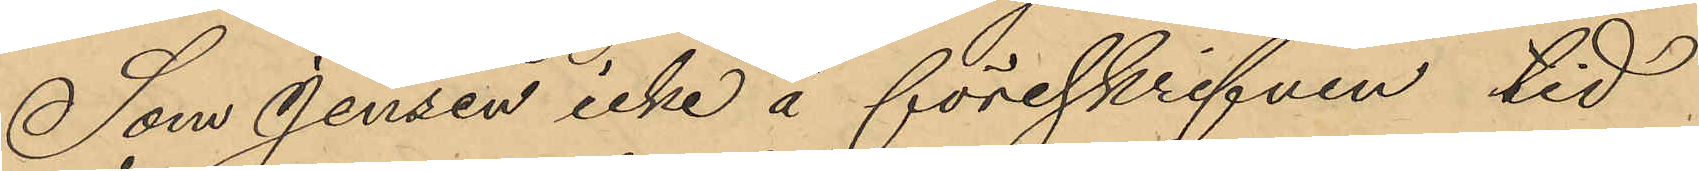Som Jensen icke å föreskrifven tid
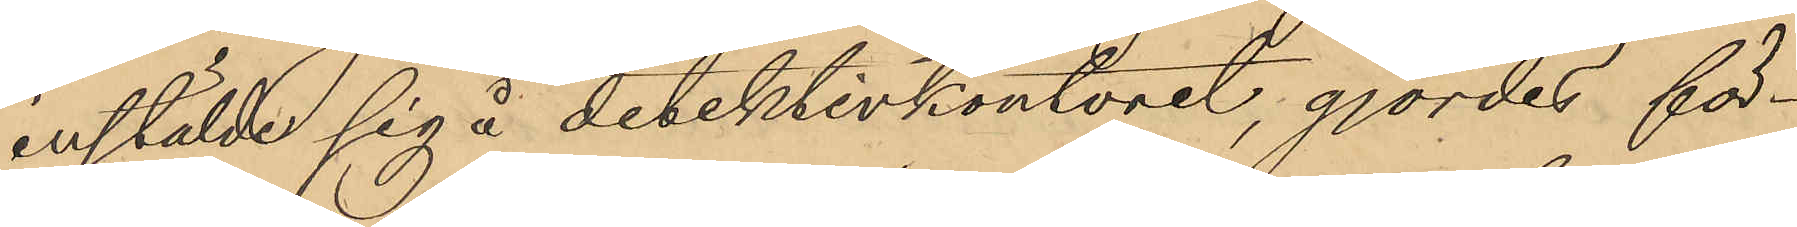instälde sig i detektivkontoret, gjordes för¬
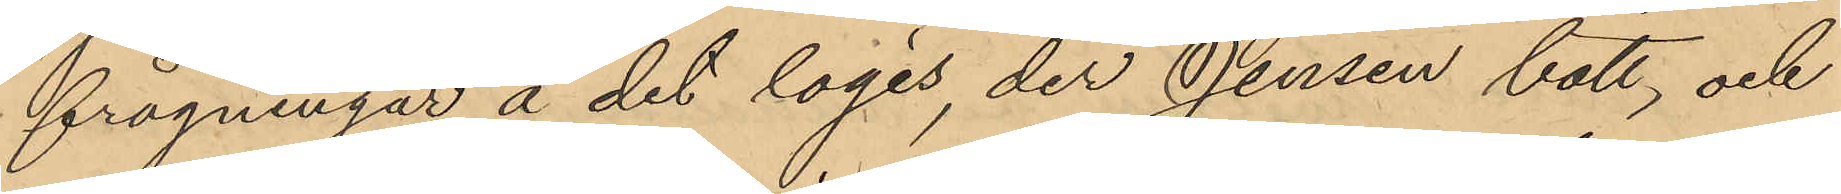frågningar å det logis, der Jensen bott, och
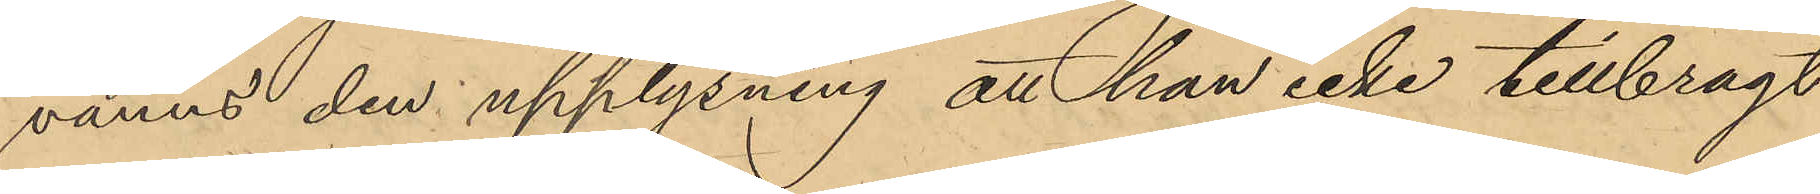vanns den upplysning att han icke tillbragt
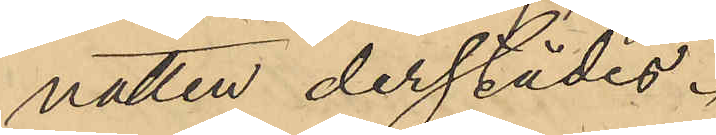natten derstädes.
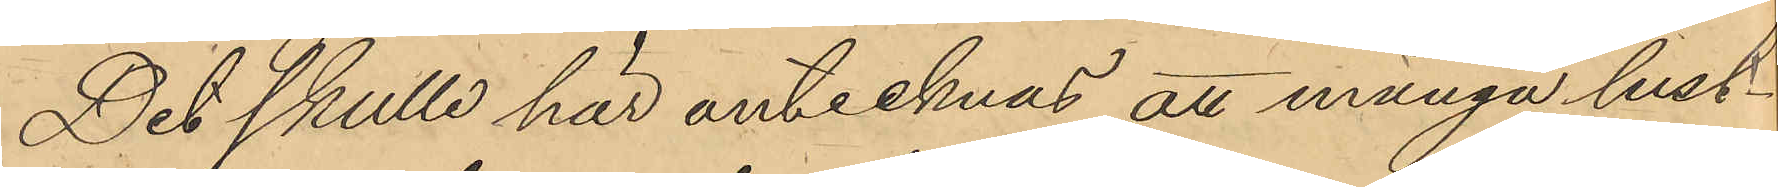Det skulle här antecknas att många lust¬
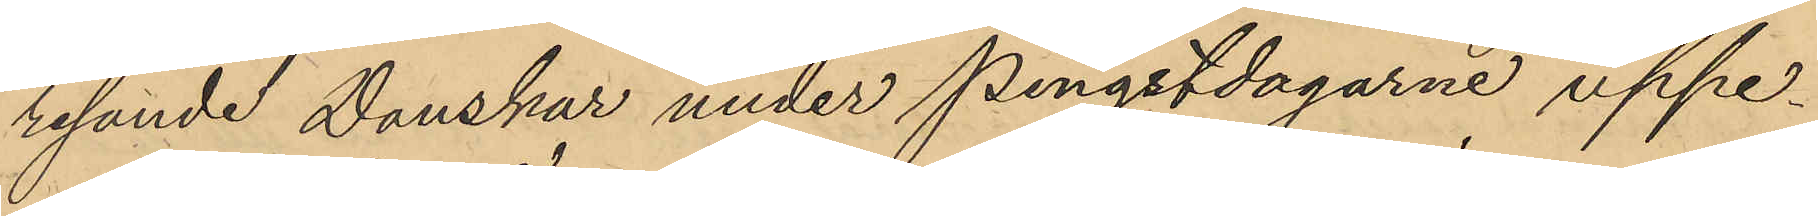resande Danskar under pingstdagarne uppe¬
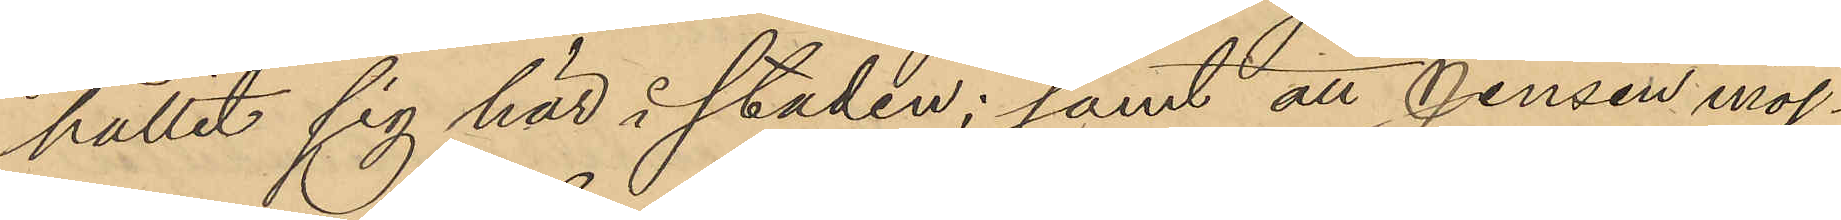hållit sig här i staden; samt att Jensen möj¬
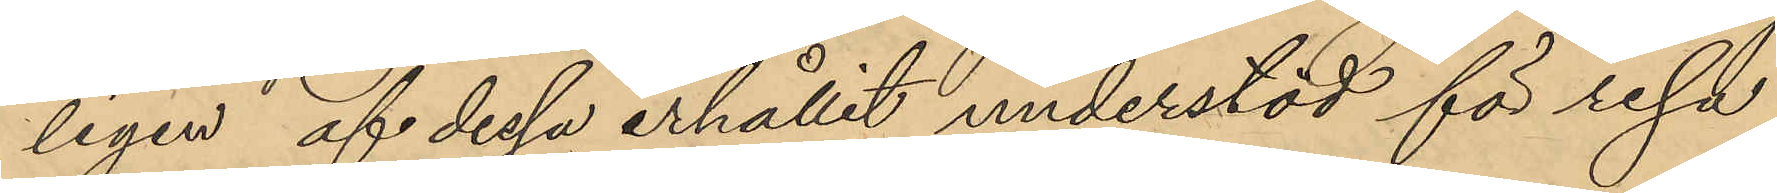ligen af dessa erhållit understöd för resa
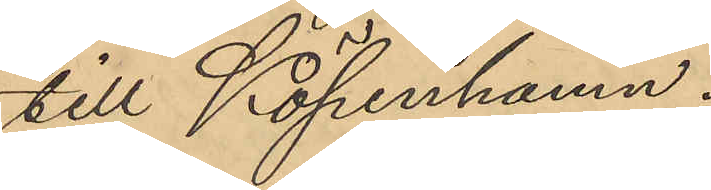till Köpenhamn.
